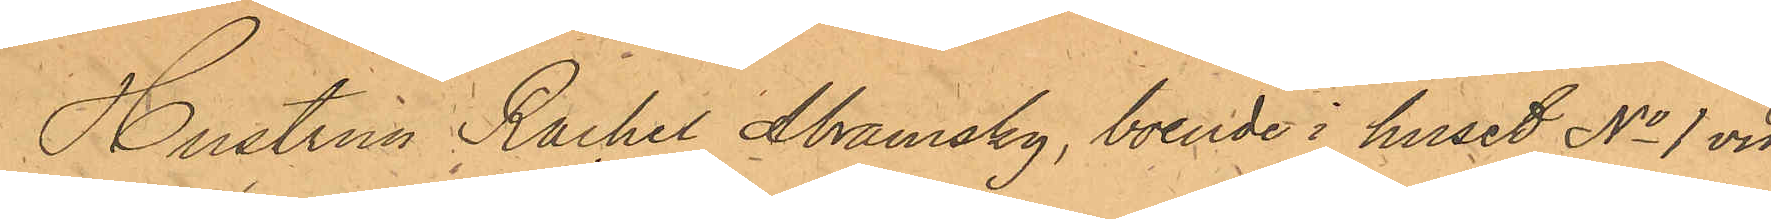Hustrun Rachel Abramsky, boende i huset No 1 vid
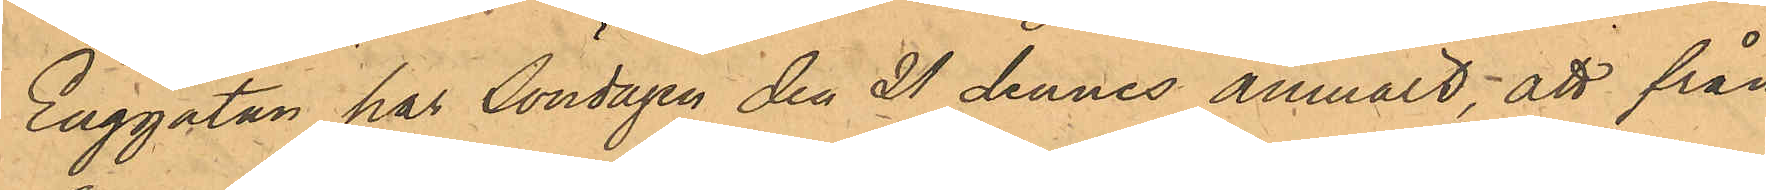Enggatan har Söndagen den 21 dennes anmält; att från
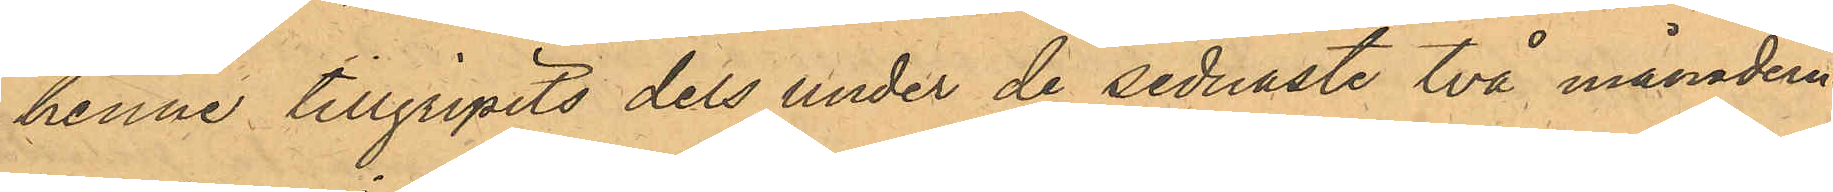henne tillgripits dels under de sednaste två månaderna
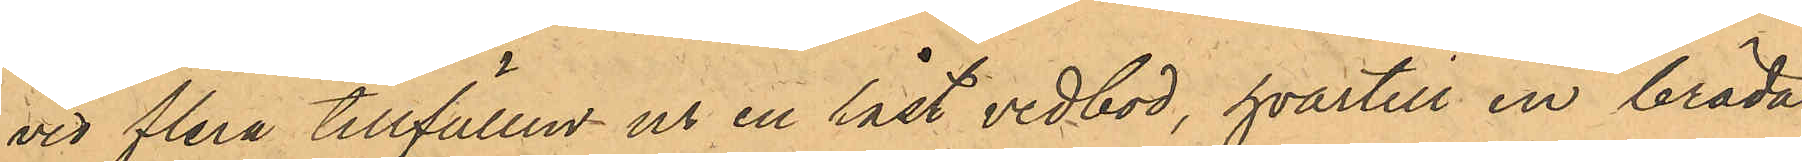vid flera tillfällen ur en låst vedbod, hvartill en bräda
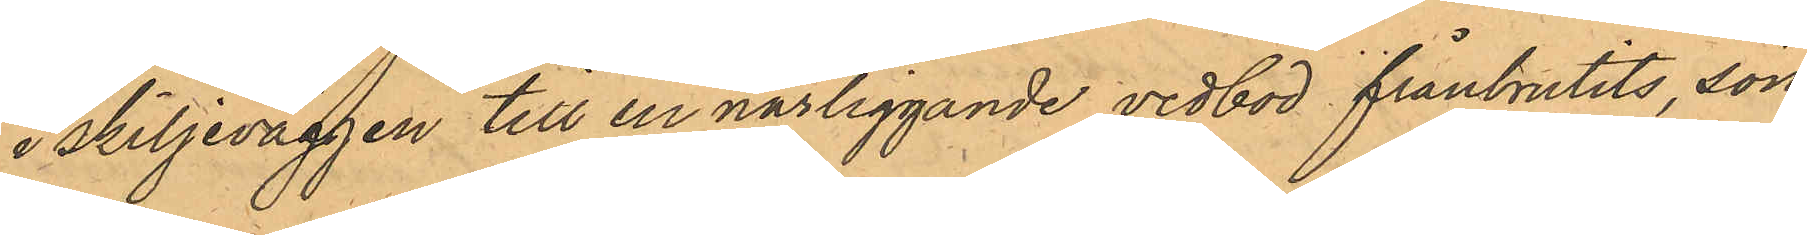i skiljeväggen till en närliggande vedbod frånbrutits, sön¬
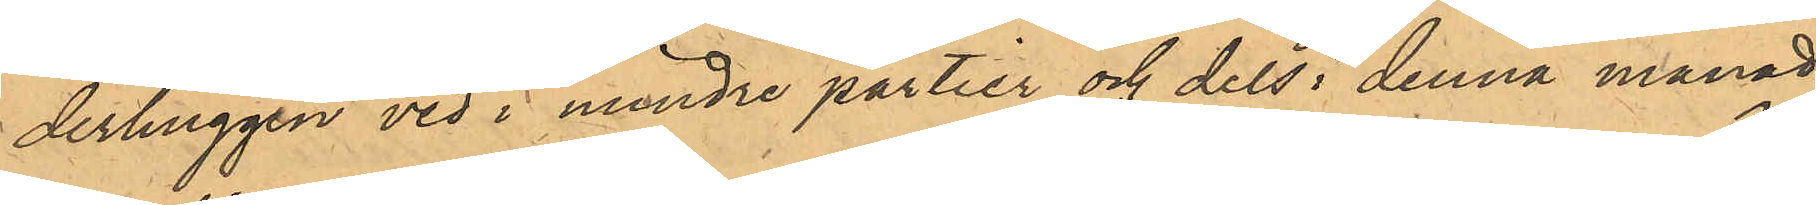derhuggen ved i mindre partier och dels i denna månad
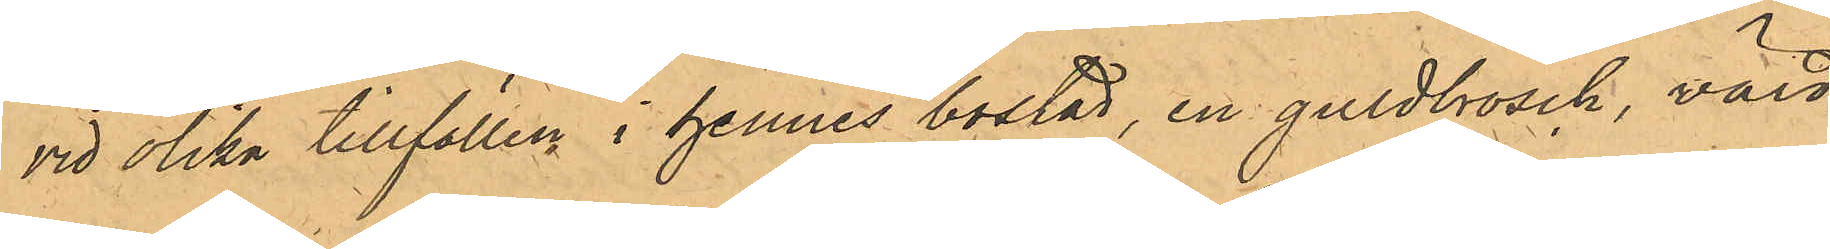vid olika tillfällen i hennes bostad, en guldbrosch, värd
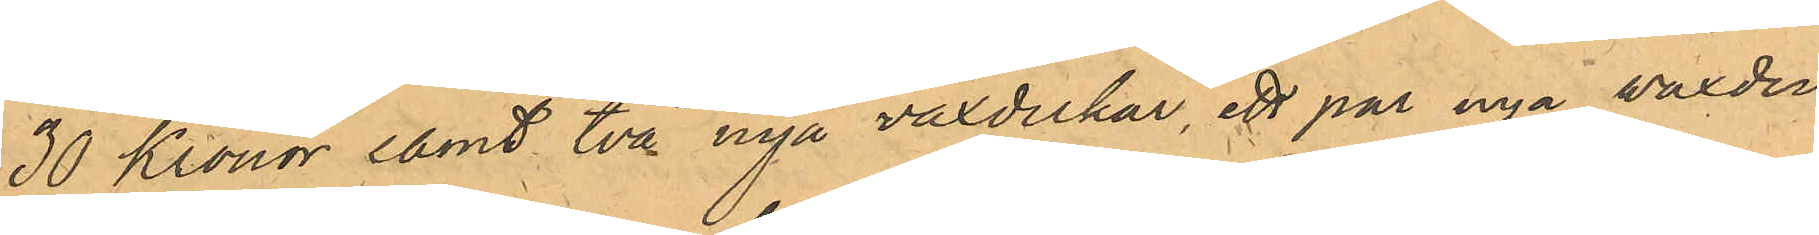30 kronor samt två nya vaxdukar, ett par nya waxdu¬
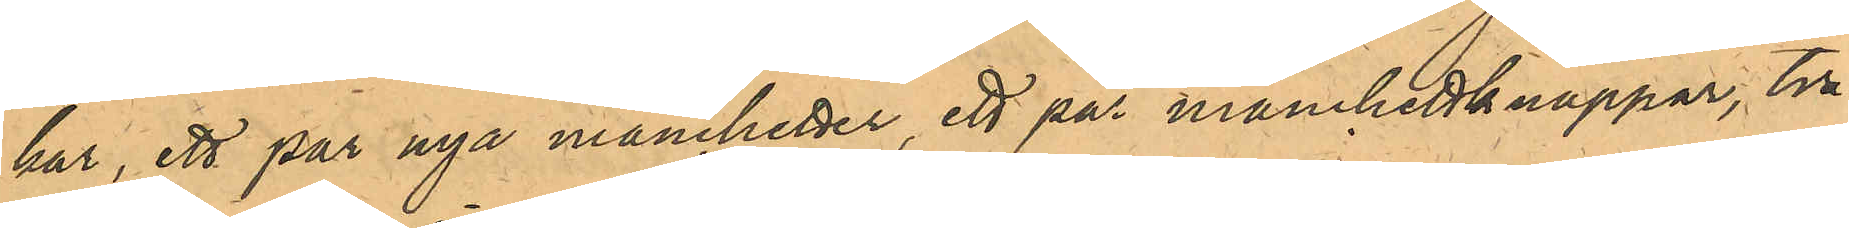kar, ett par nya manchetter, ett par manchettknappar, två
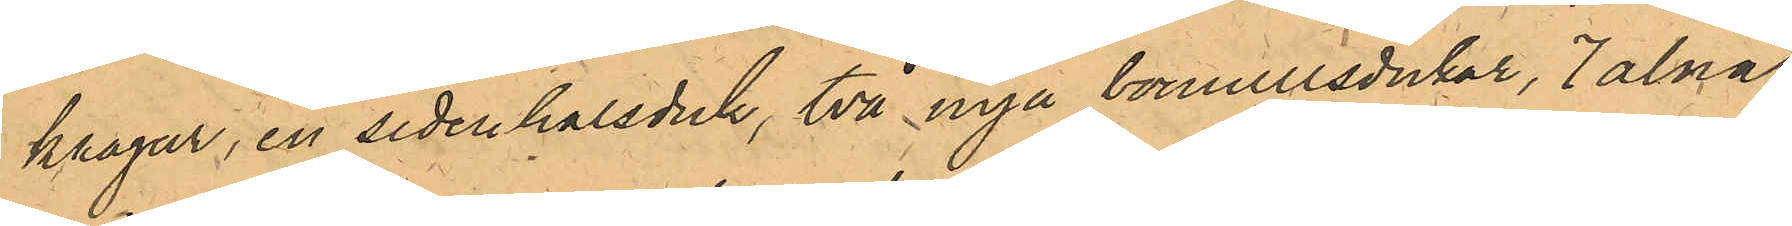kragar, en sidenhalsduk, två nya bomullsdukar, 7 alnar
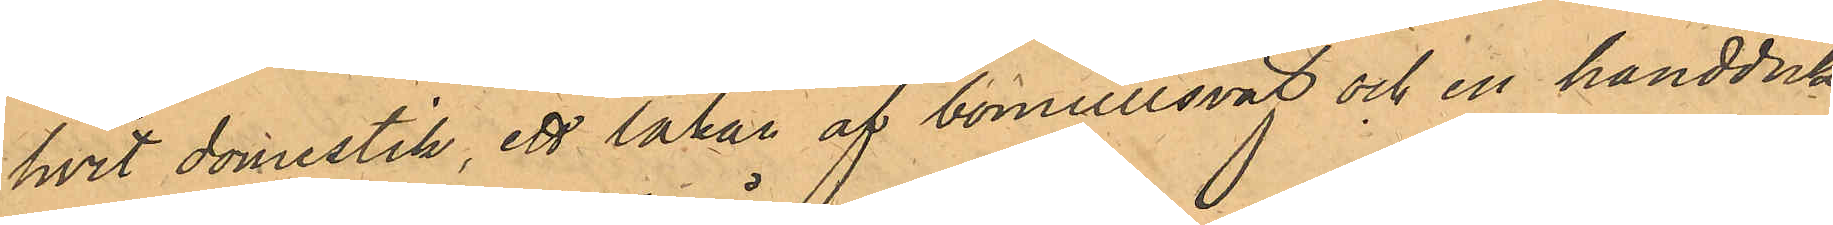hvit domestik, ett lakan af bomullsväf och en handduk,
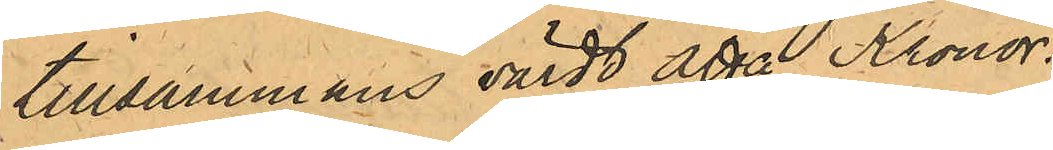tillsammans värdt Åtta Kronor.
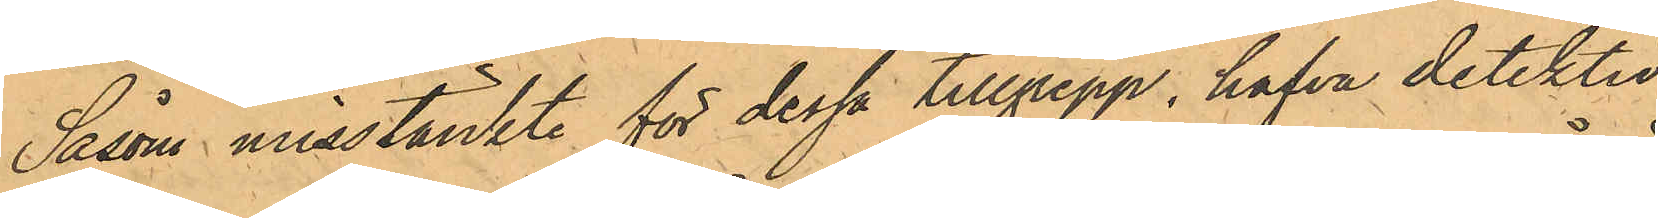Såsom misstänkt för dessa tillgrepp hafva detektiv¬
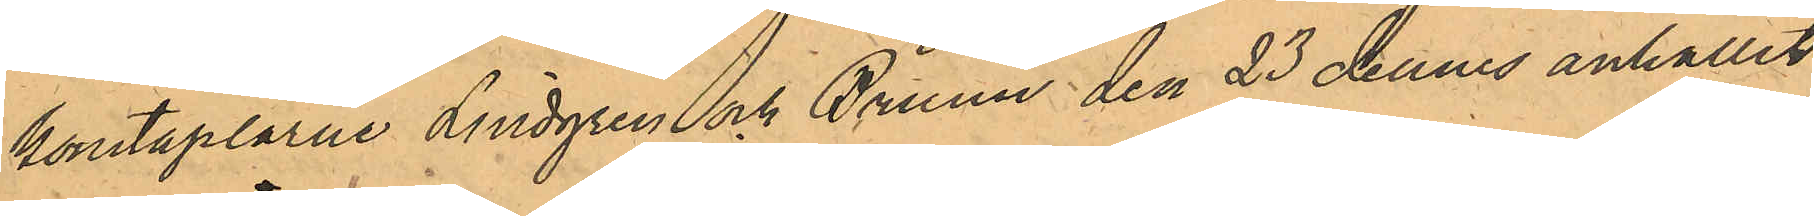konstaplarne Lindgren och Bruun den 23 dennes anhållit
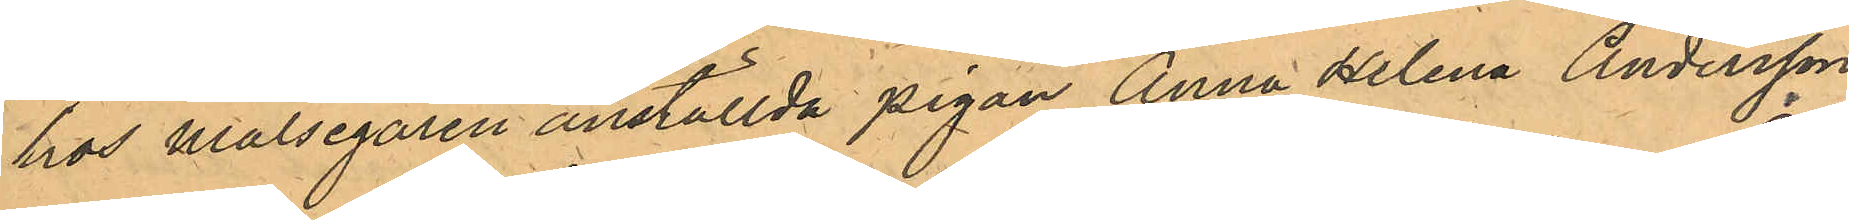hos Målsegaren anställda pigan Anna Helena Andersson
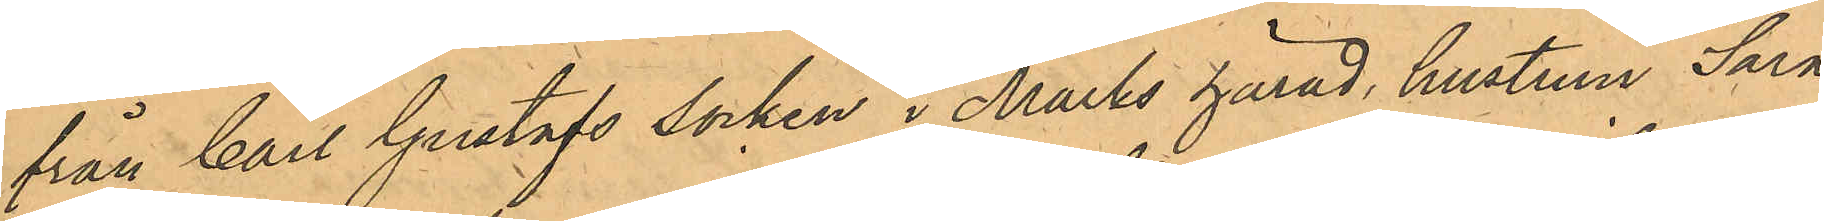från Carl Gustafs Socken i Marks härad, hustrun Sara
